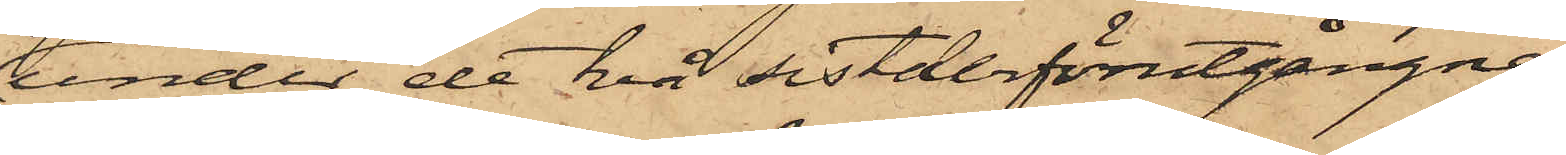under de två sistderförutgångne
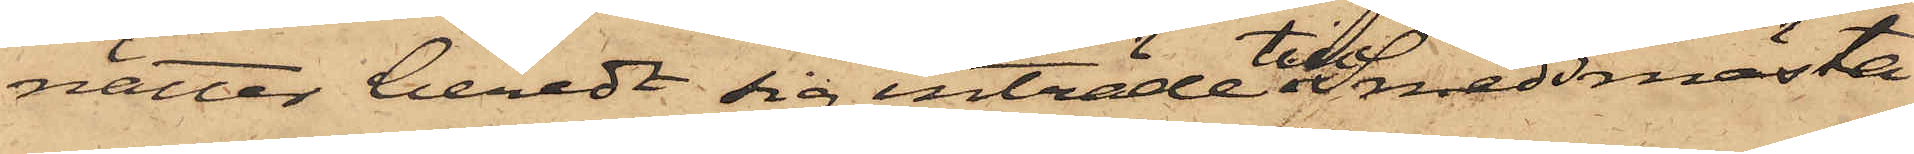nätter beredt sig inträde till Smedsmästa¬
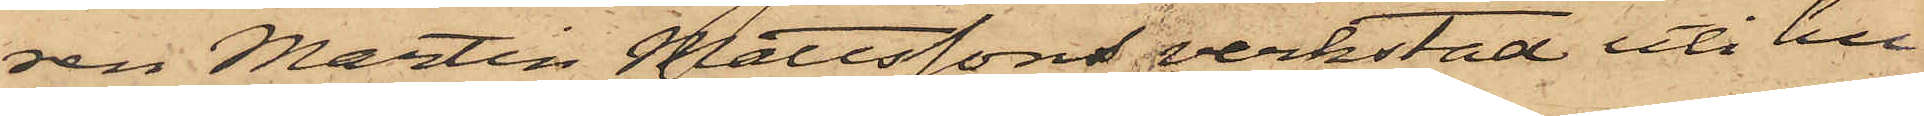ren Martin Mattssons verkstad uti hu¬
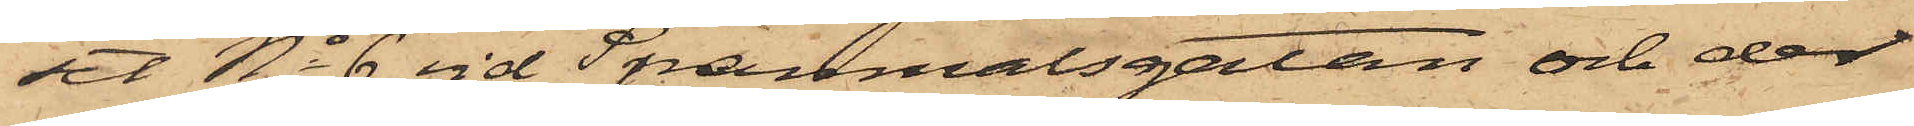set No 6 vid Spanmålsgatan och der
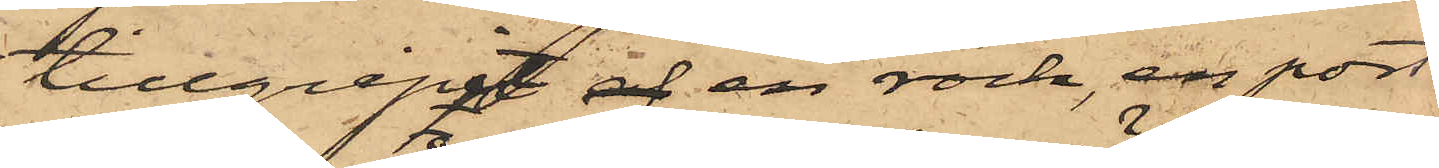tillgripit af en rock, en port¬
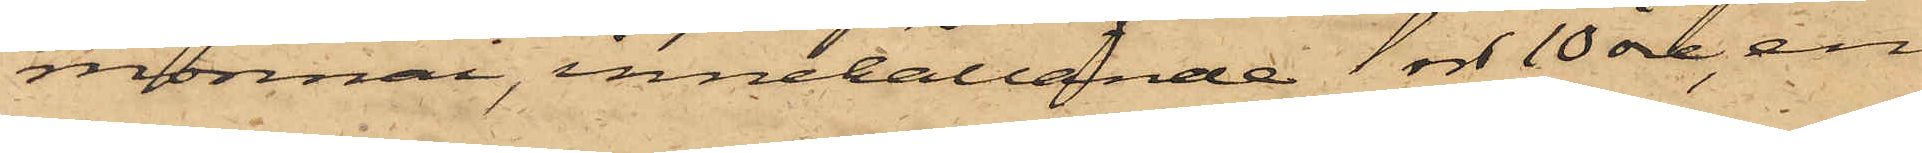monnai, innehållande 1 rdr 10 öre, en
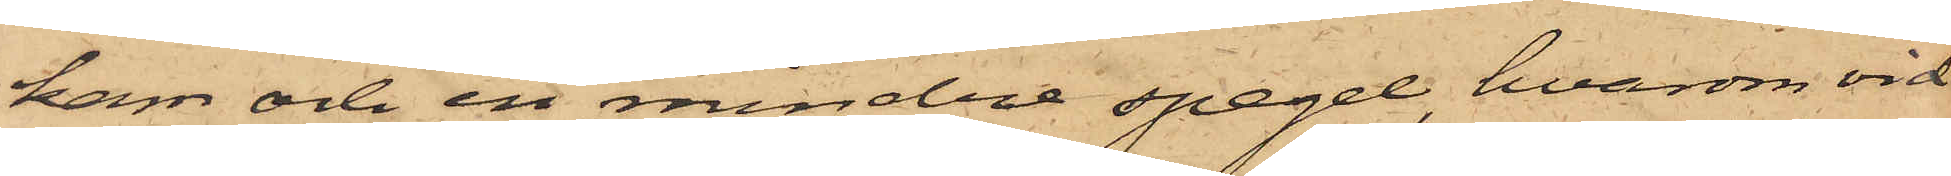kam och en mindre spegel, hvarom vid
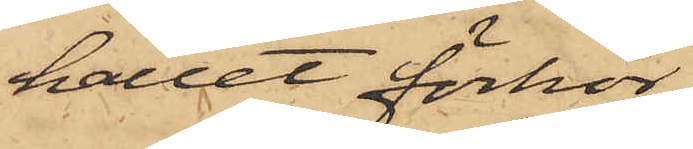hållet förhör,
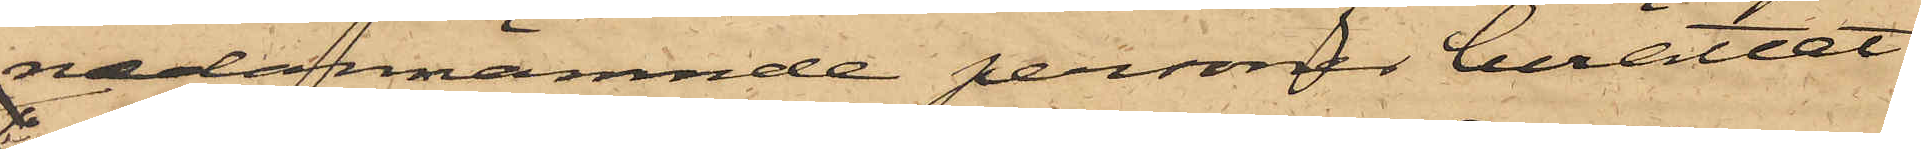nedannämnde personer berättat:
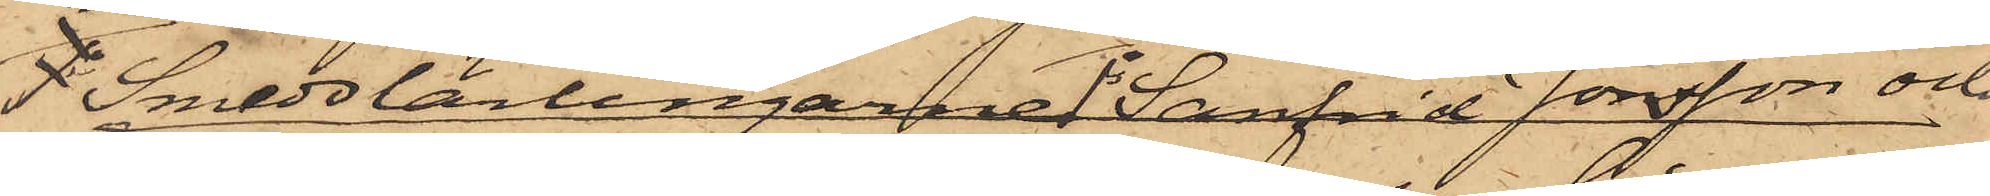1o Smedslärlingarne 1o Sanfrid Jonsson och
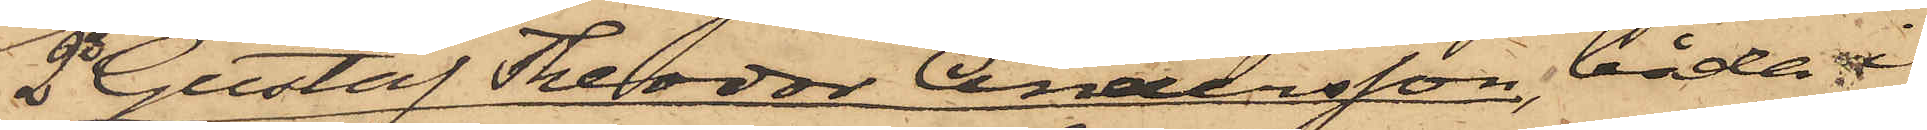2o Gustaf Theodor Andersson, båda i
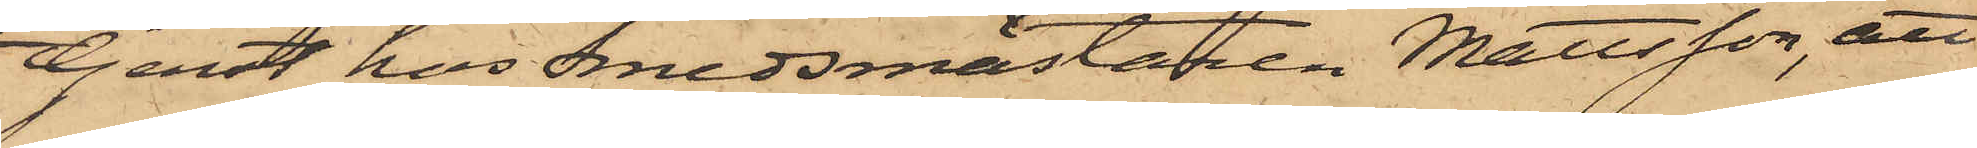tjenst hos Smedsmästaren Mattsson, att
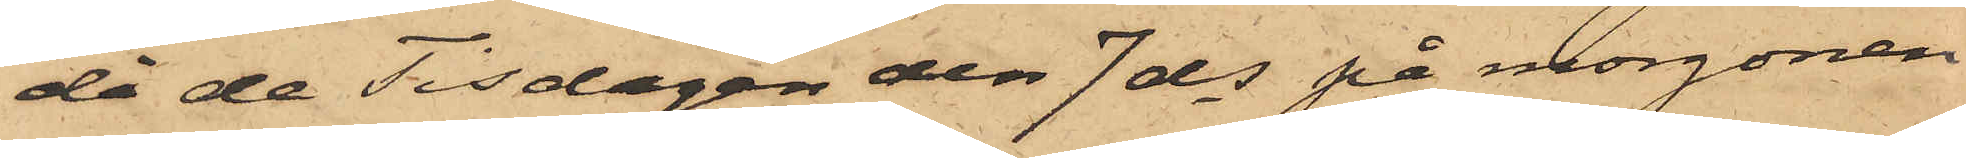då de Tisdagen den 7 ds på morgonen
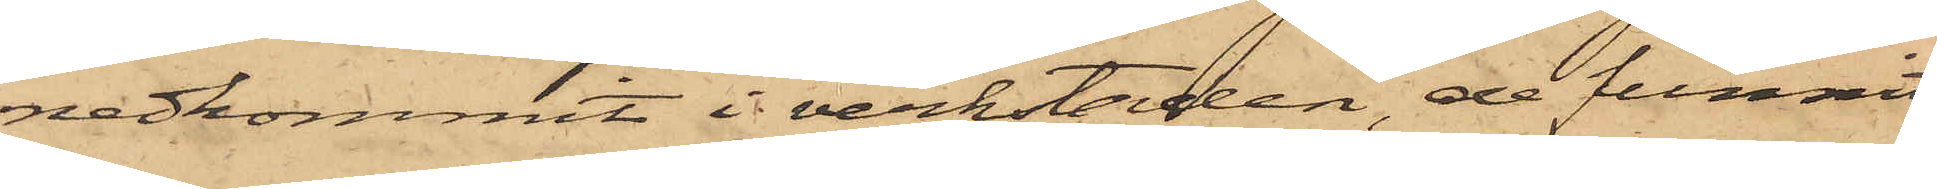nedkommit i verkstaden, de funnit
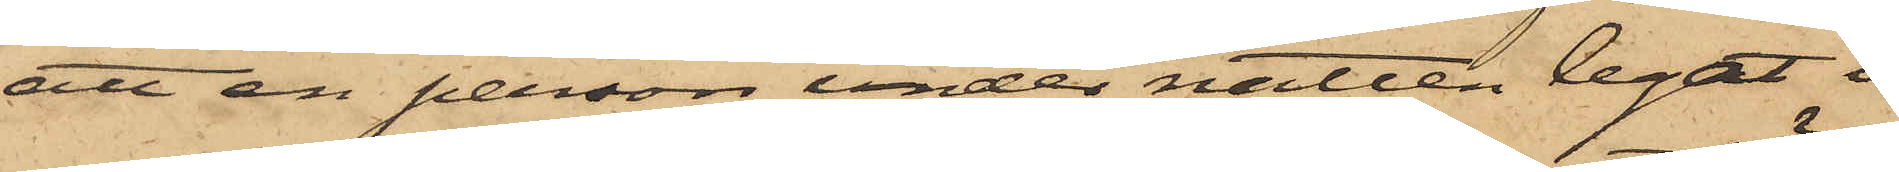att en person under natten legat i
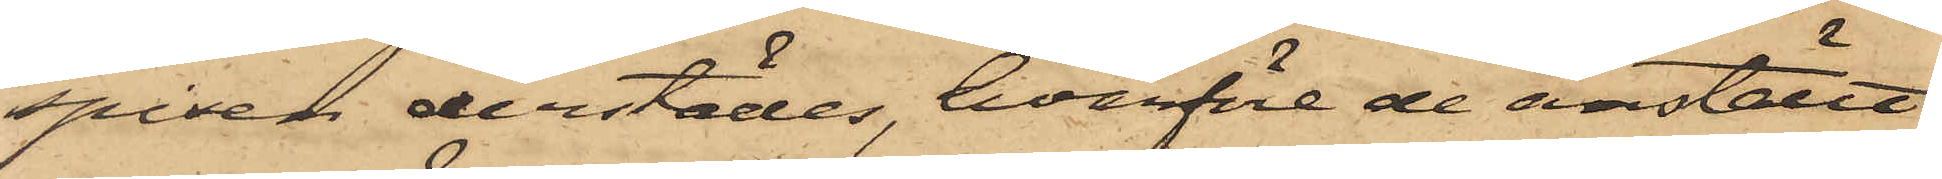spisen derstädes, hvarföre de anställt
